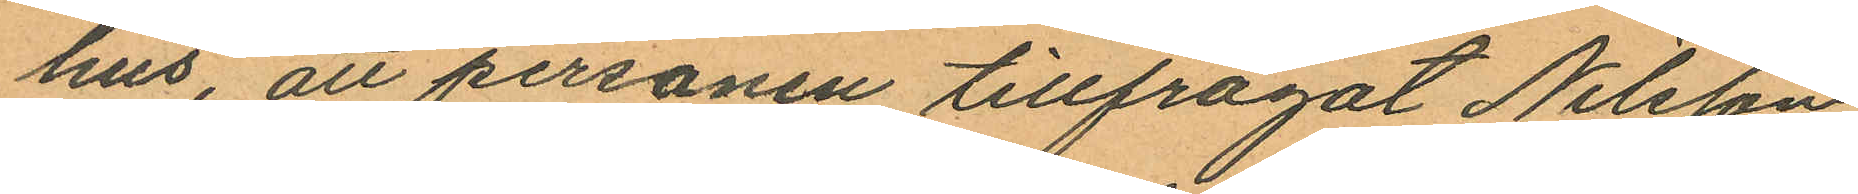hus, att personen tillfrågat Nilsson
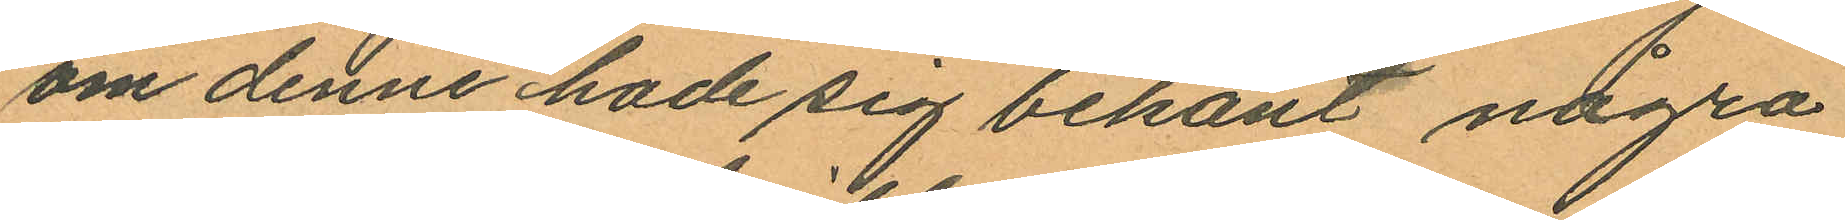om denne hade sig bekant några
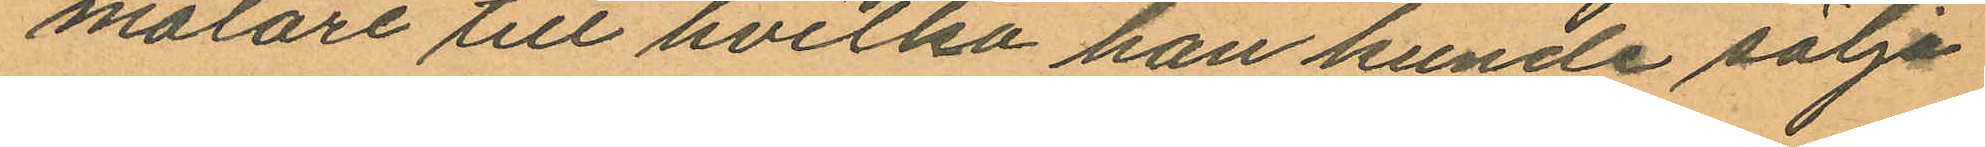målare till hvilka han kunde sälja
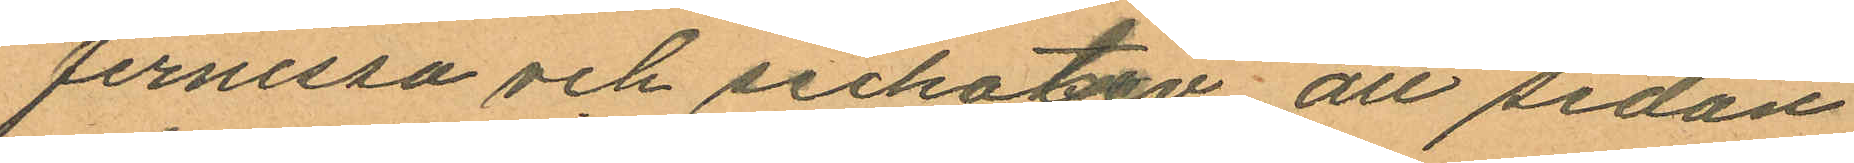fernissa och sickativ att sedan
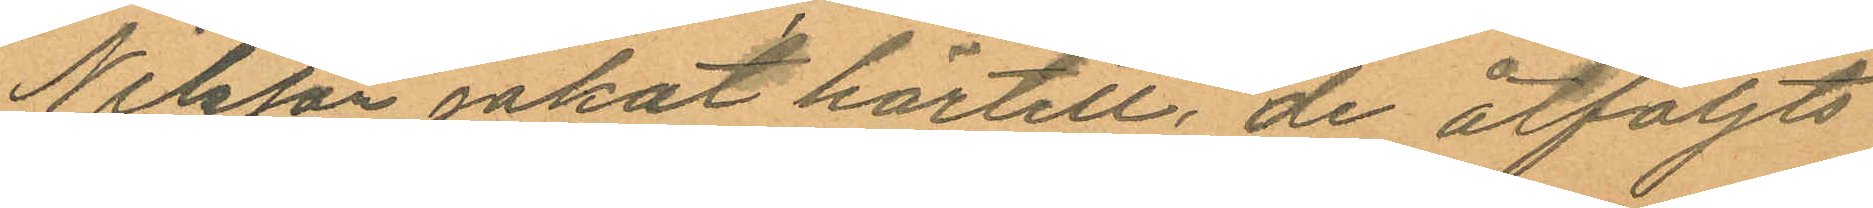Nilsson jakat härtill, de åtföljts
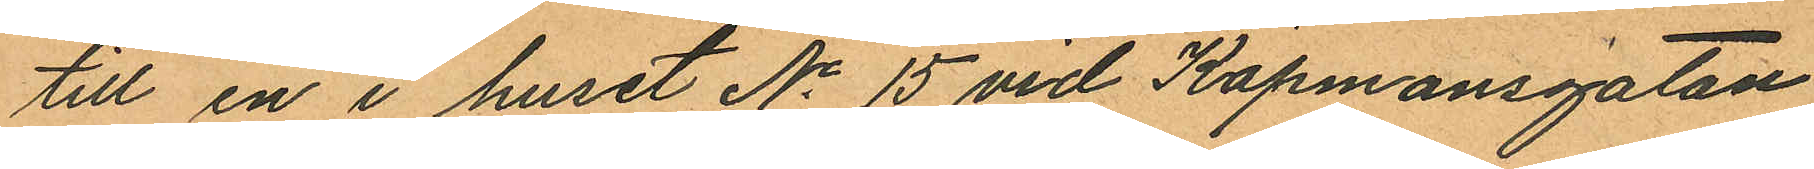till en i huset No 15 vid Köpmansgatan
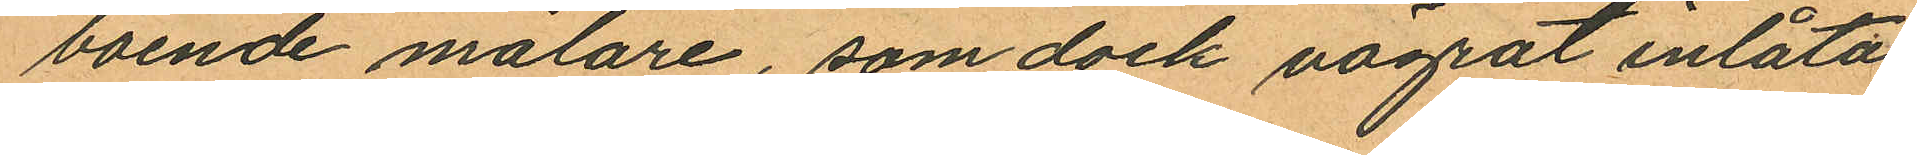boende målare, som dock vägrat inlåta
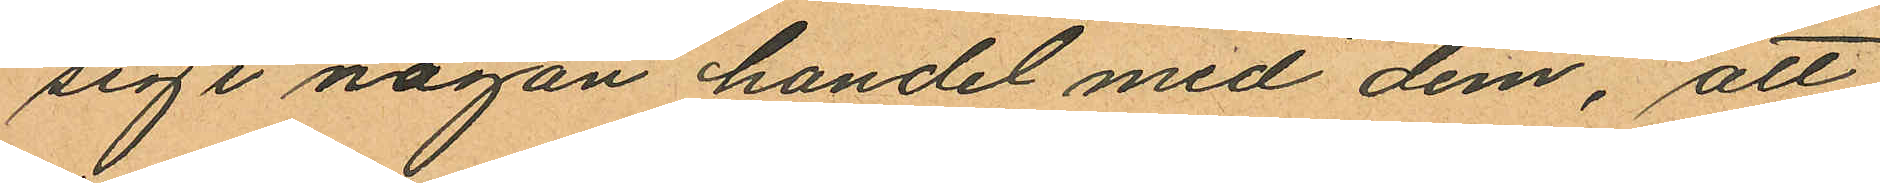sig i någon handel med dem, att
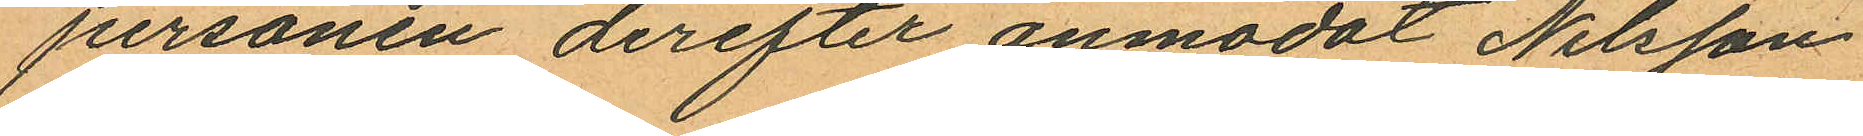personen derefter anmodat Nilsson
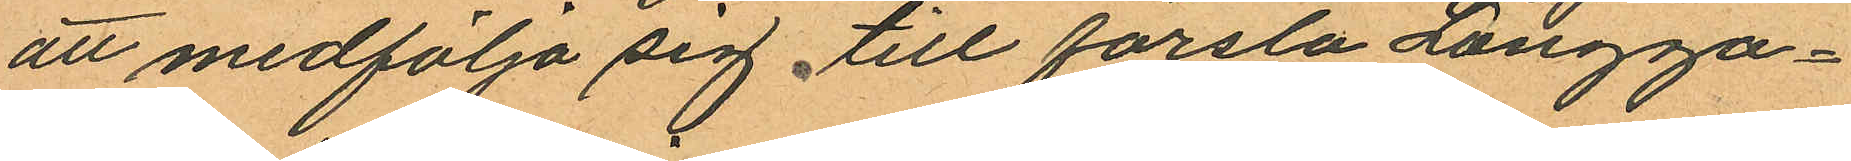att medfölja sig till första Långga¬
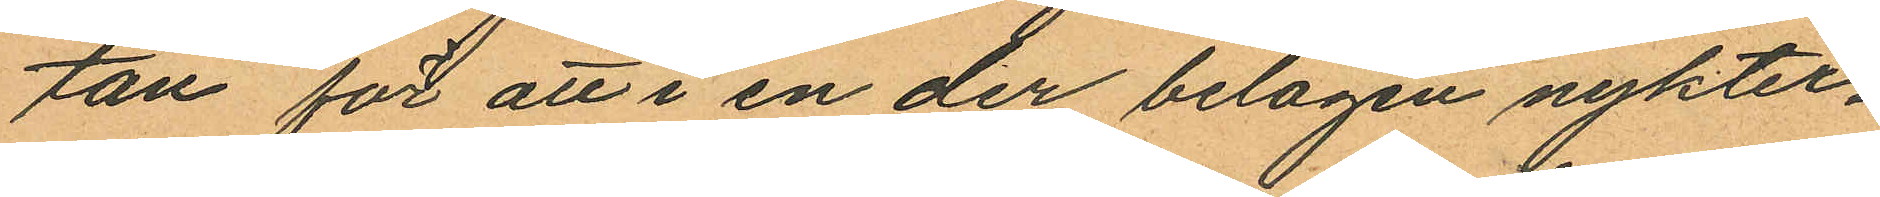tan för att i en der belägen nykter¬
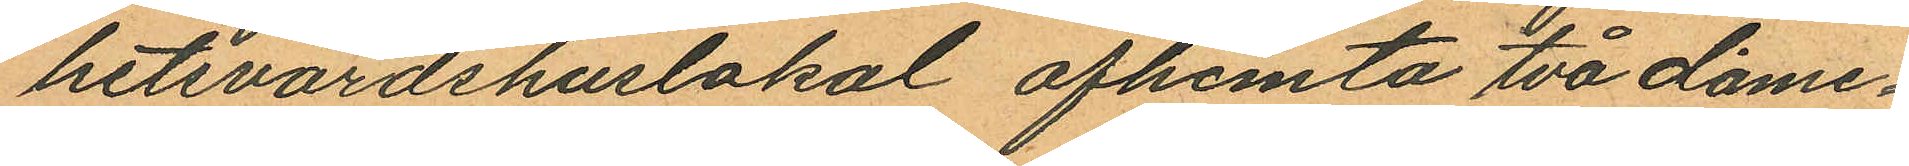hetsvärdshuslokal afhemta två dame¬
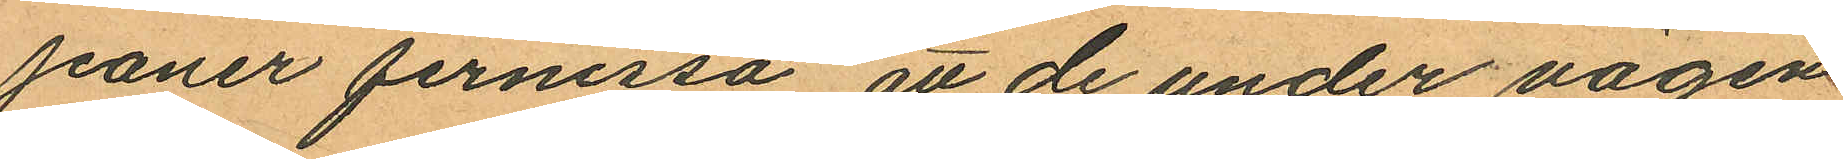jeaner fernissa att de under vägen
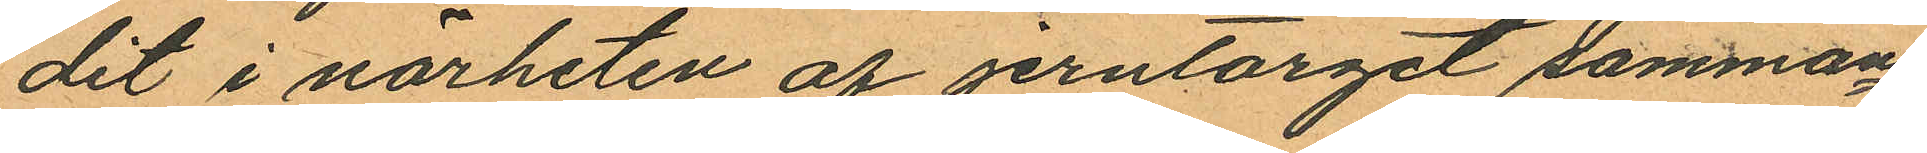dit i närheten af jerntorget samman¬
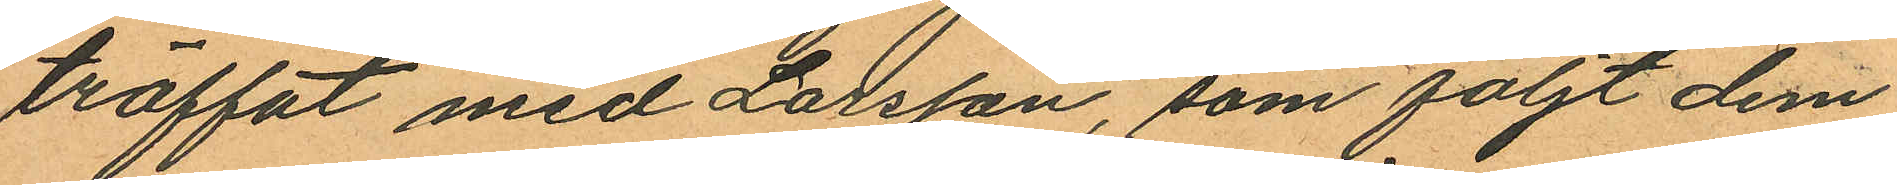träffat med Larsson, som följt dem
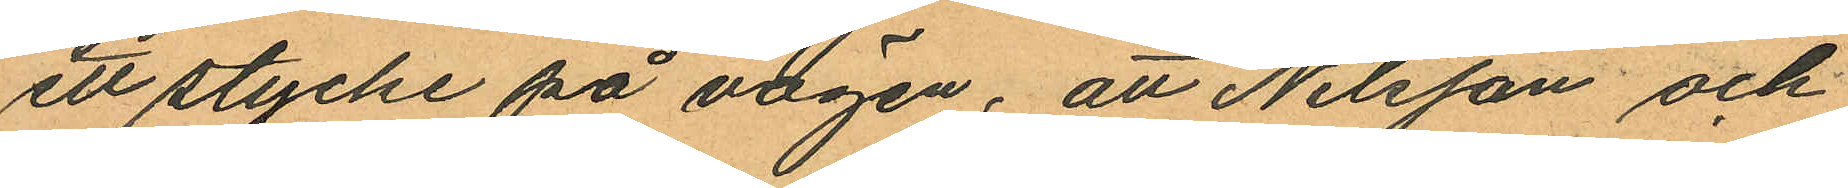ett stycke på vägen, att Nilsson och
